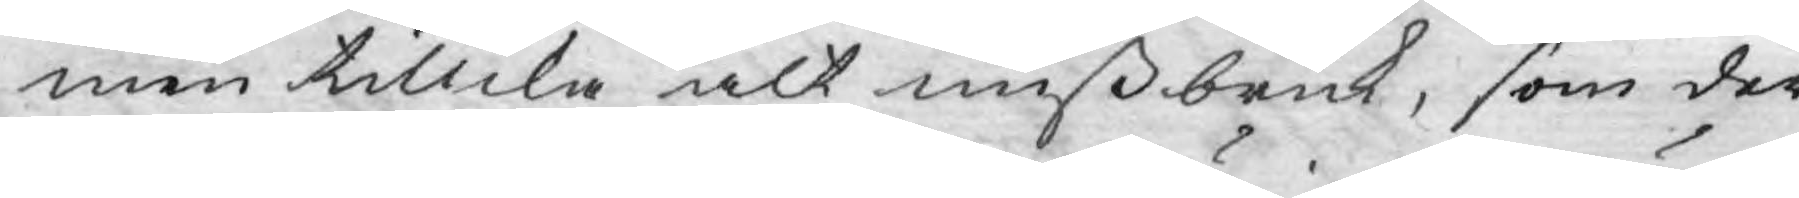men tillika alt mißbruk, som der¬
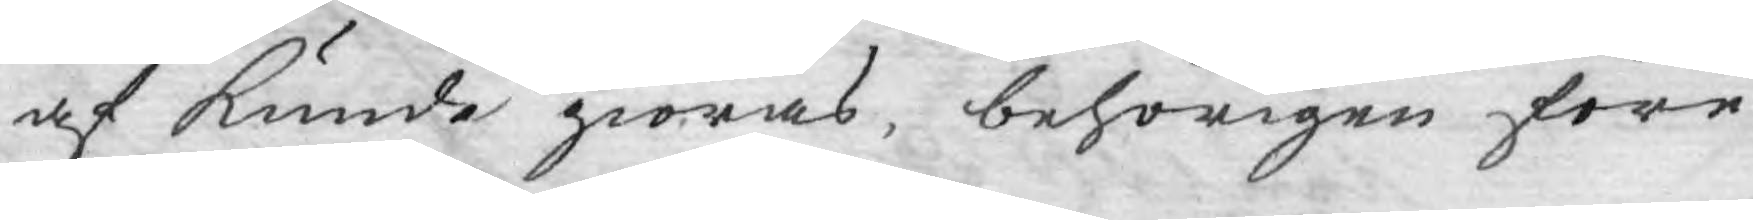af kunde giöras, behörigen före¬
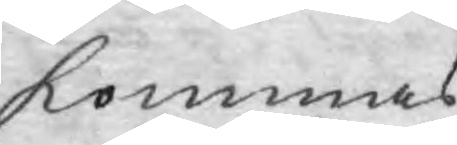kommas.
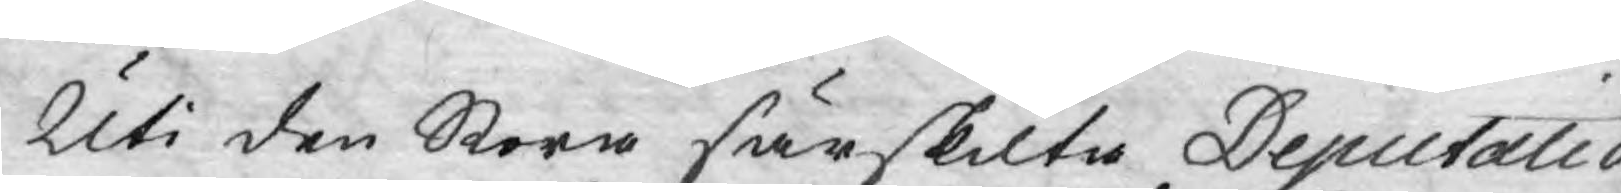Uti den Stora särskilta Deputatio¬
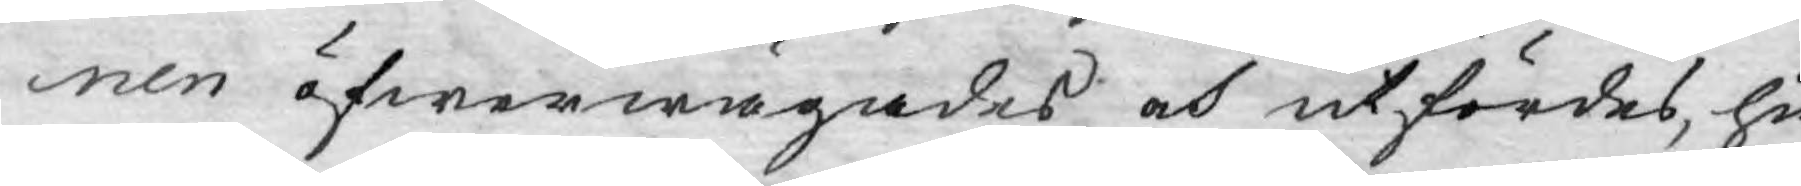nen öfwerwägades och utfördes, hu¬
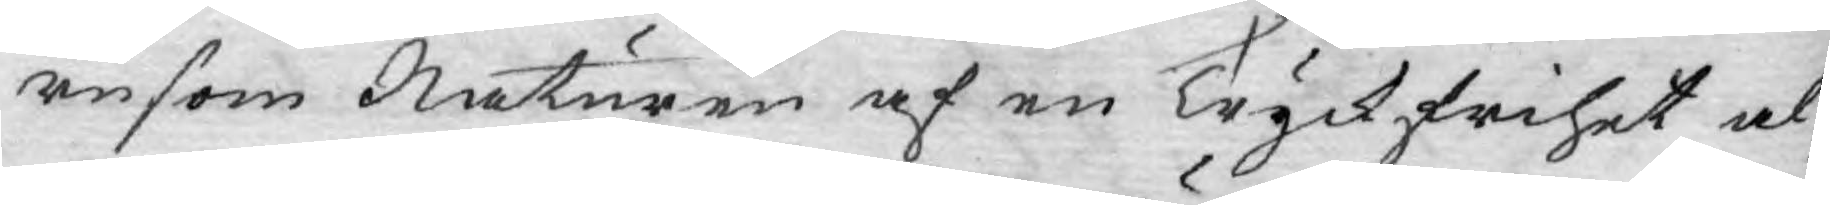rusom Naturen af en Tryckfrihet al¬
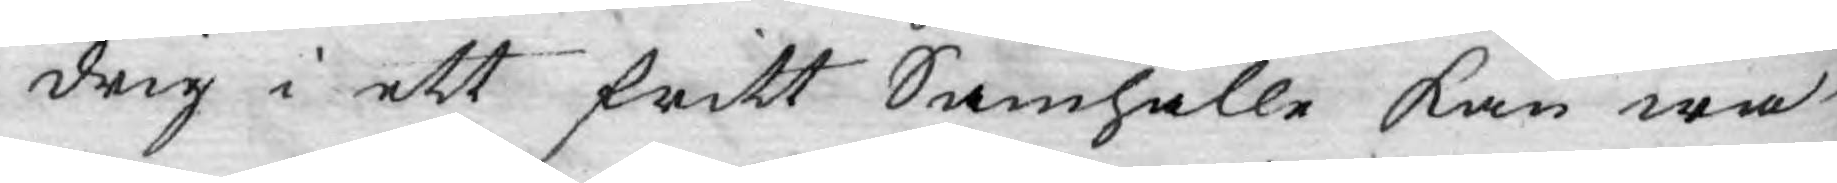drig i ett fritt Samhälle kan wa¬
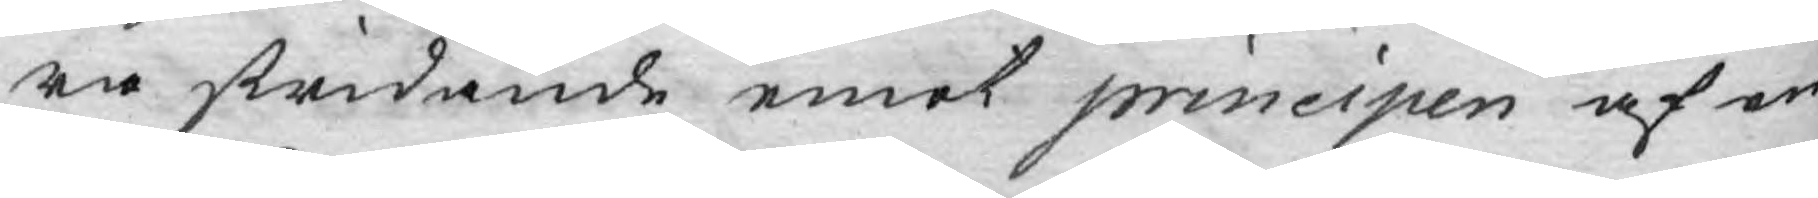ra stridande emot principen af en
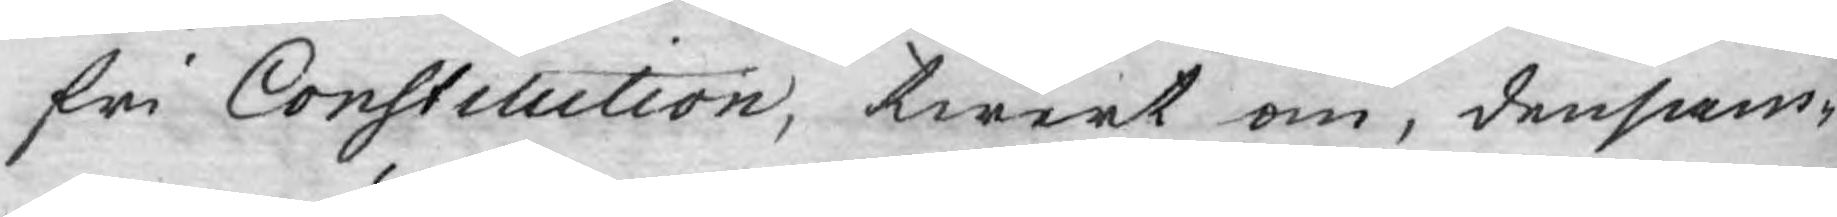fri Constitution, twert om, densam¬
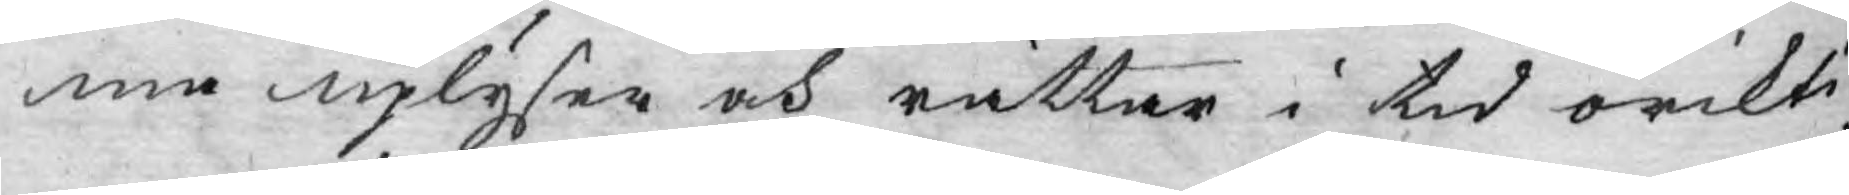ma uplyser och rättar i tid orikti¬
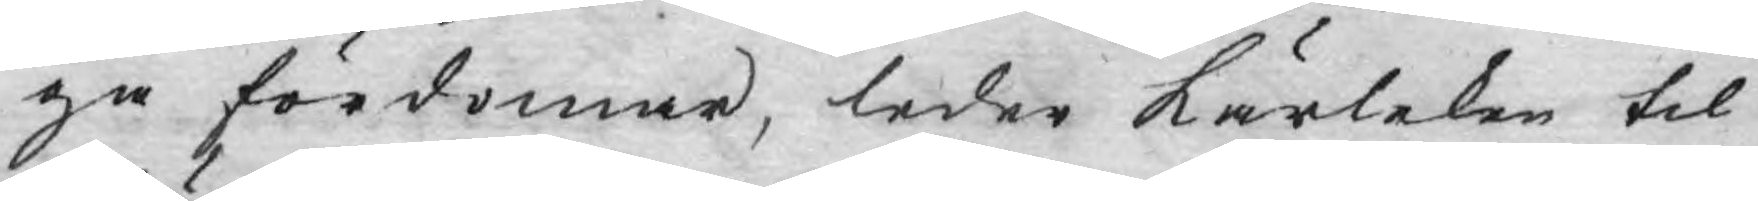ga fördomar, leder kärleken til
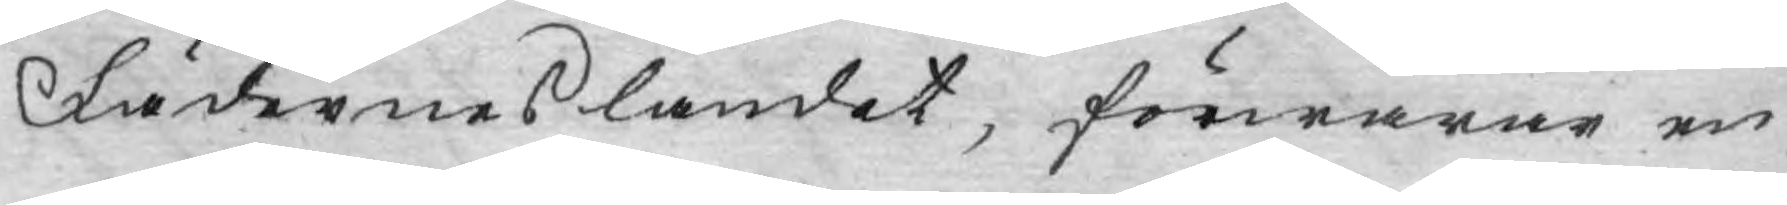Fäderneslandet, förwarar en
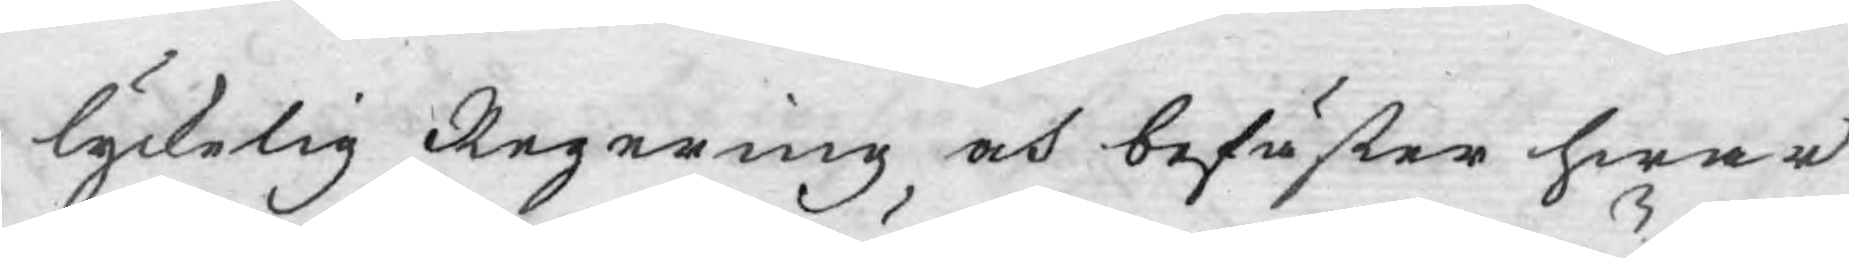lyckelig Regering, och befäster hwar
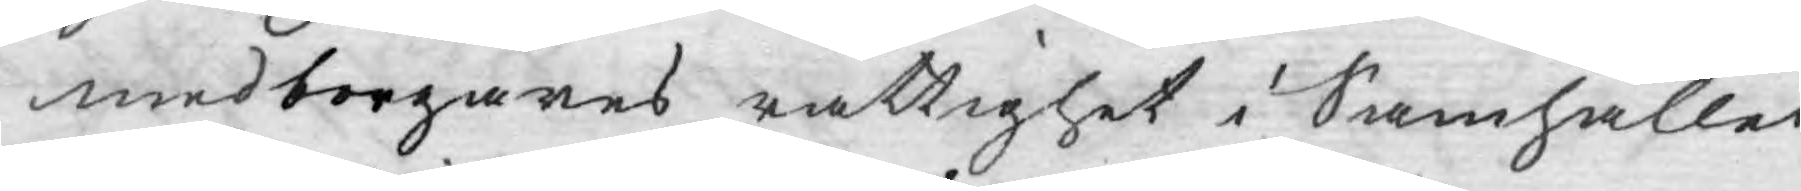medborgares rättighet i Samhället;
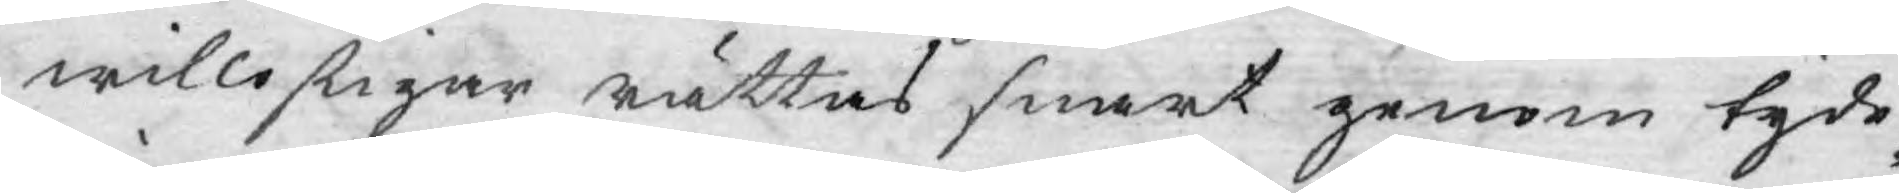willostigar rättas snart genom tyde¬
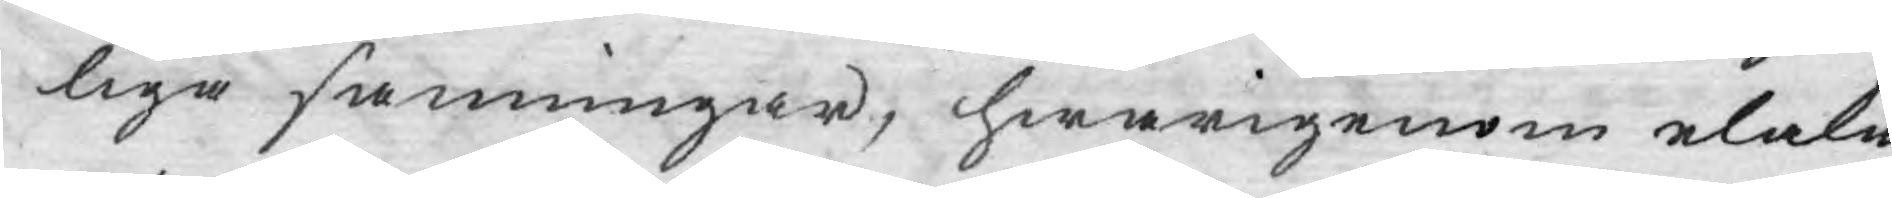liga sanningar, hwarigenom elaka
